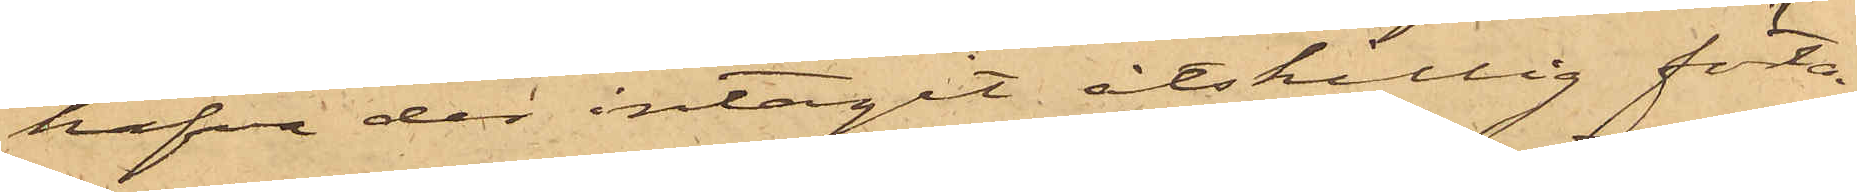hafva der intagit åtskillig förtä¬
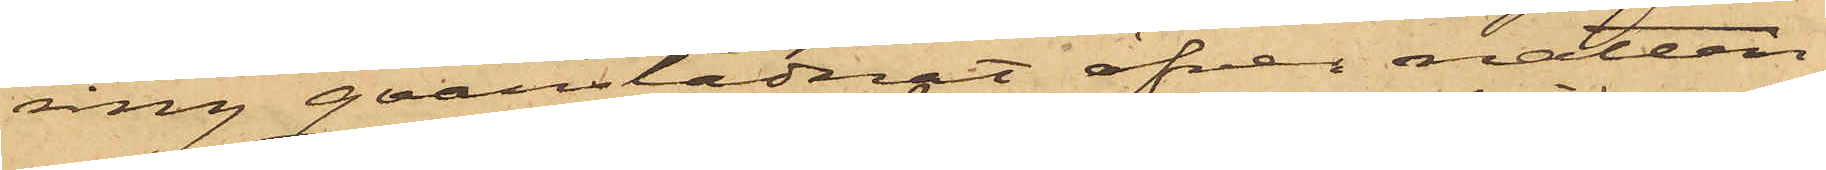ring qvarstadnat öfver natten;
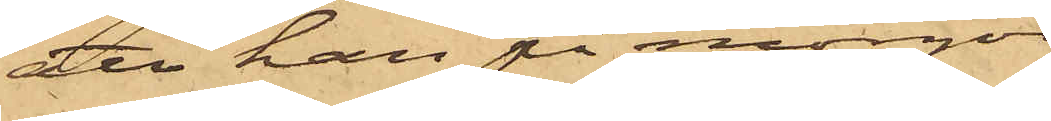att han på morgon
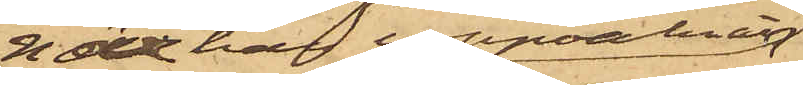när han uppvaknat
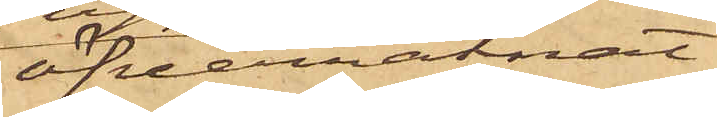öfverräknat
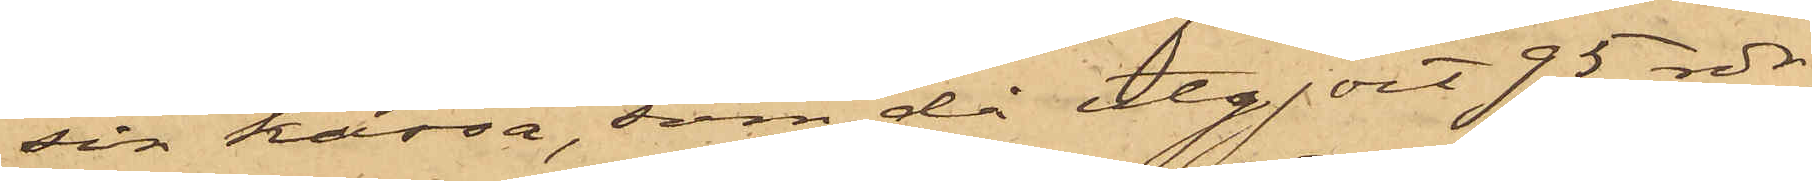sin kassa, som då utgjort 95 rdr;
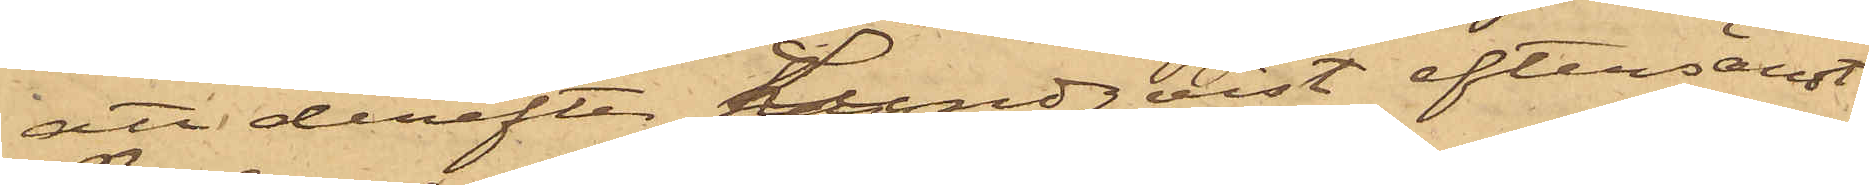att derefter Lundqvist eftersändt
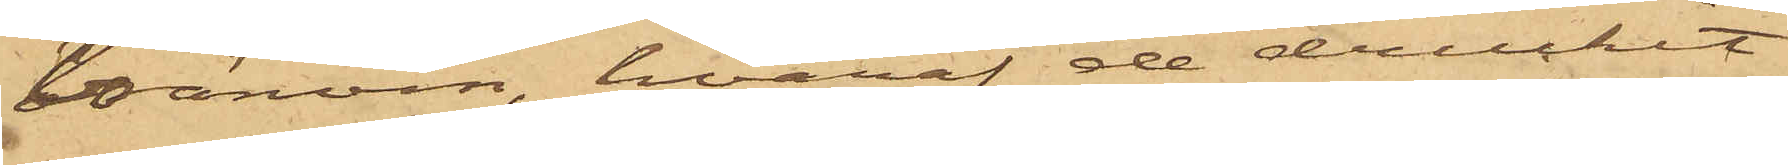bränvin, hvaraf de druckit
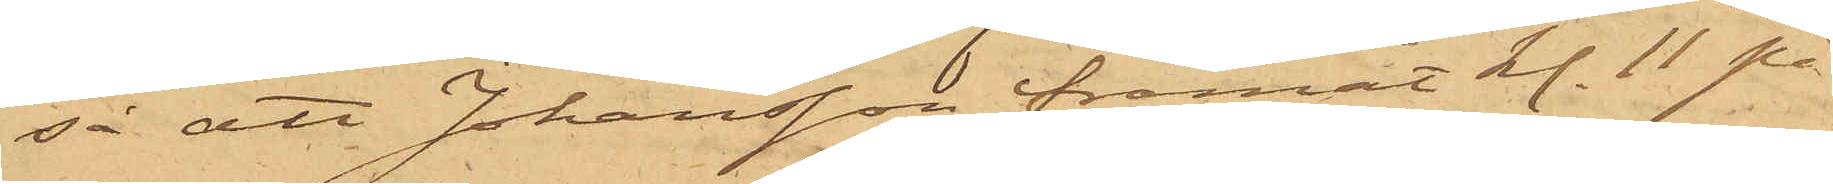så att Johansson framåt kl. 11 på
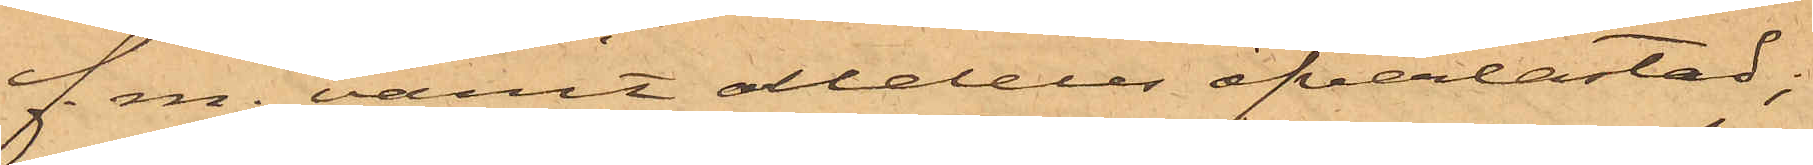f. m. varit alldeles öfverlastad;
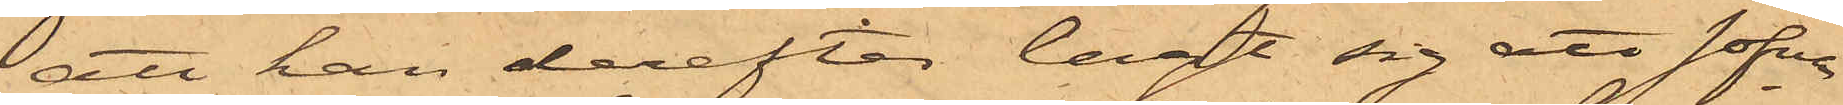att han derefter lagt sig att sofva
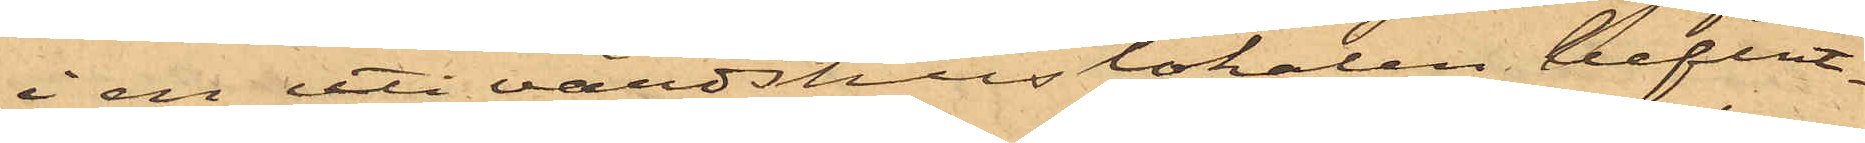i en uti värdshuslokalen befint¬
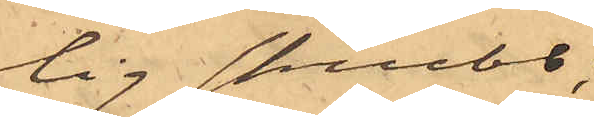tig skrubb,
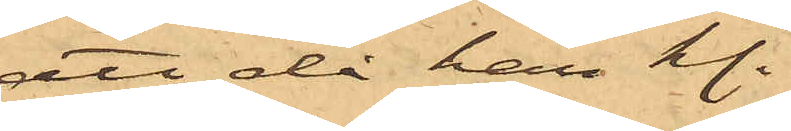att då han kl.
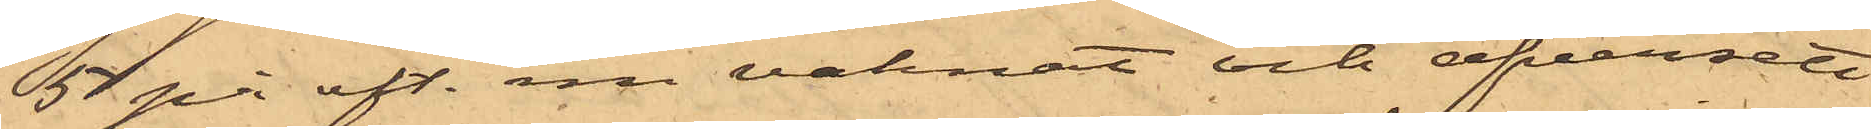5 på eft. m. vaknat och öfversett
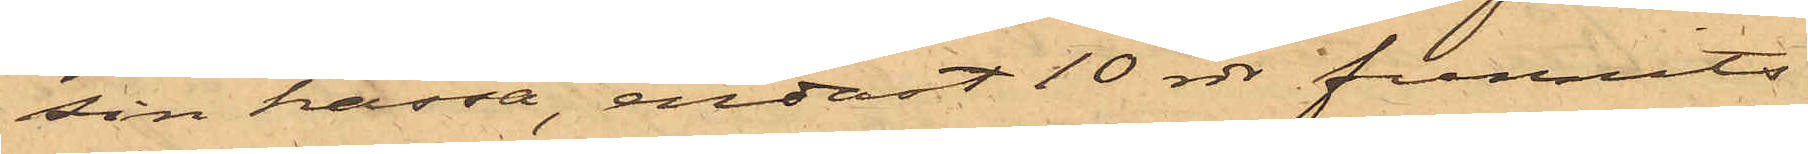sin kassa, endast 10 rdr funnits
